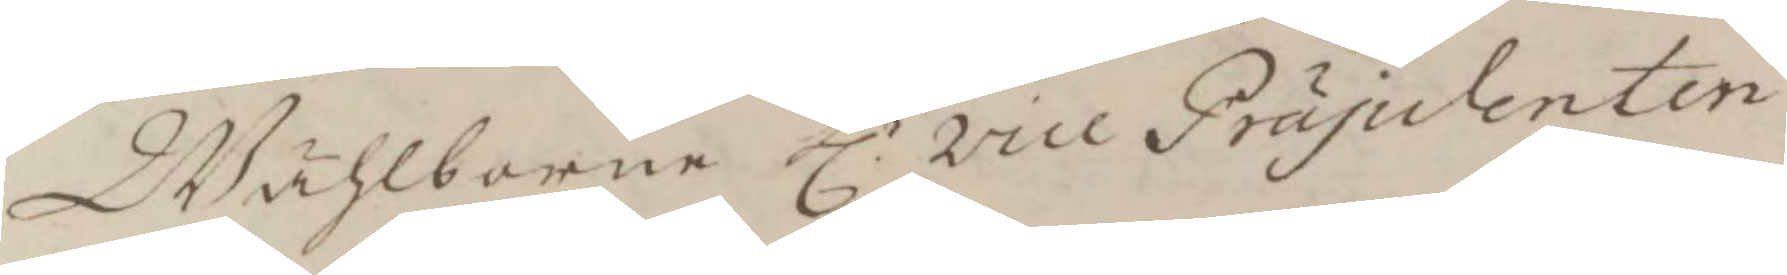Wälborne hl.r vice Präsidenten
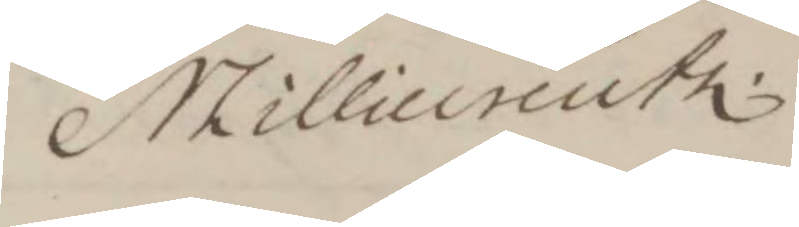N Lillicreutz.
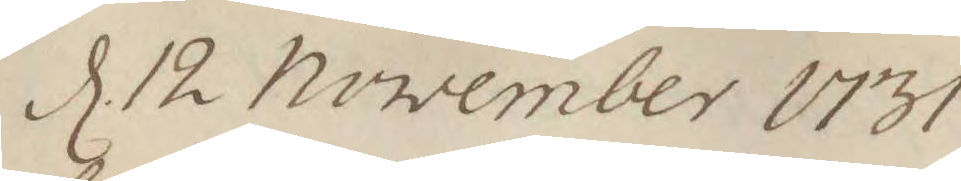d. 12 November 1731
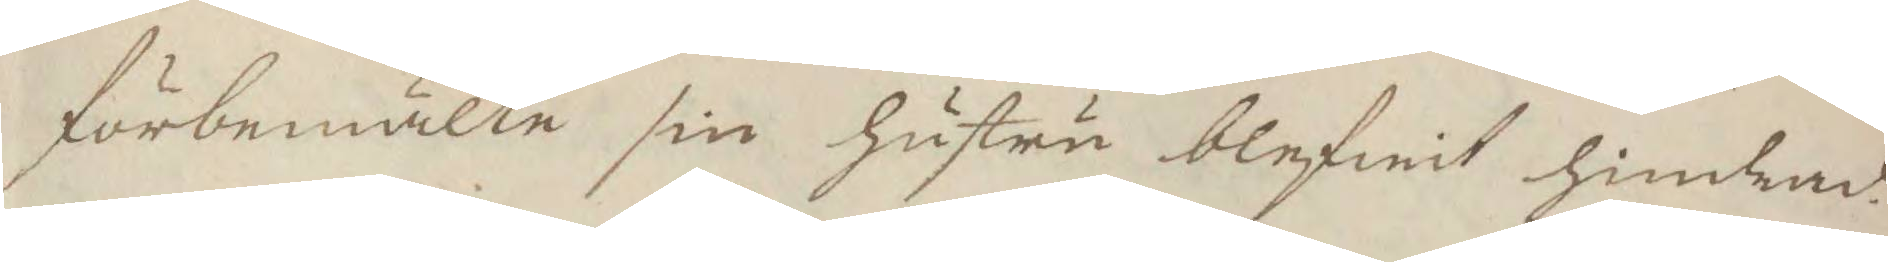förbemälte sin hustru blifwit hindrad.
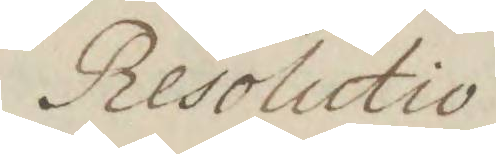Resolutico
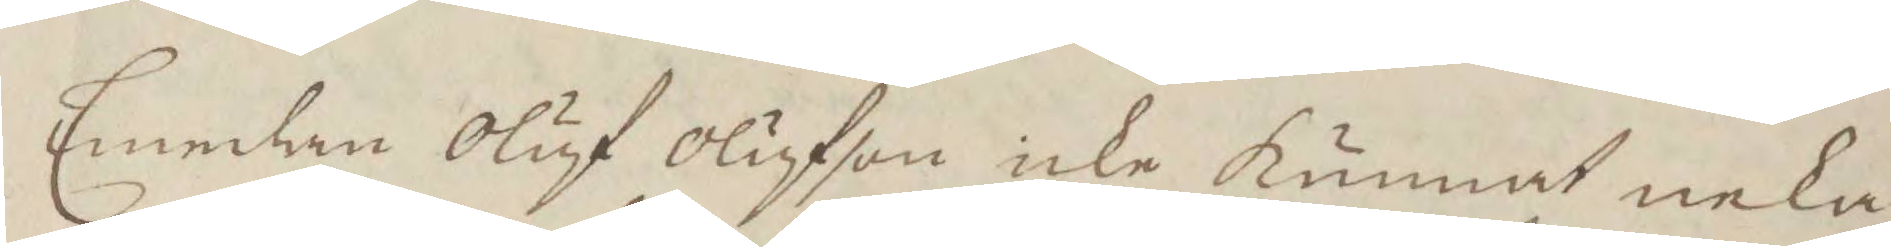Emedan Oluf Olufson icke kunnat neka
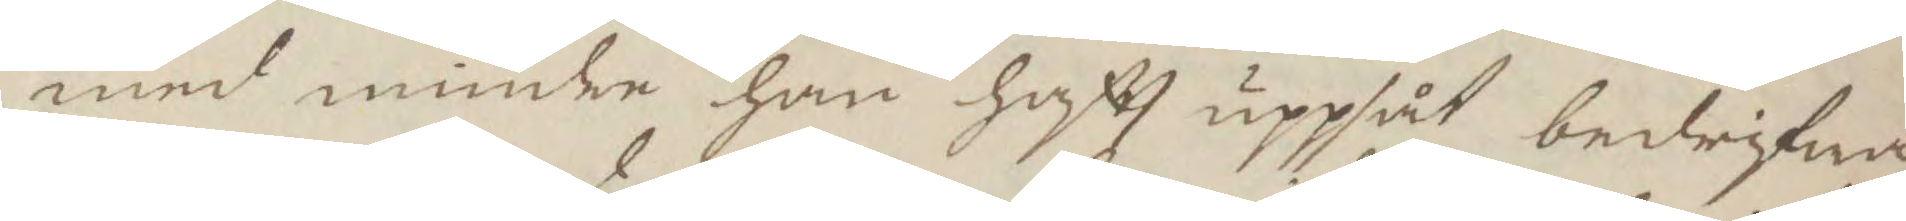med mindre han haftt uppsåt bedrifwa
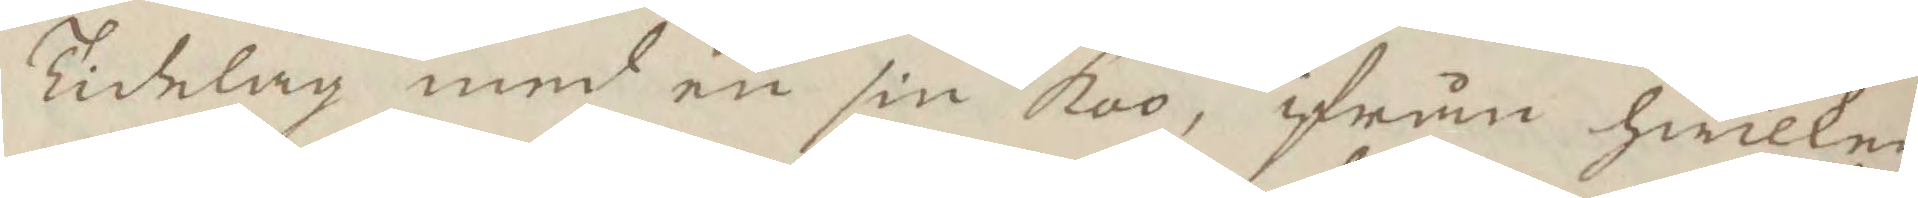Tidelag med en sin koo, ifrån hwilken
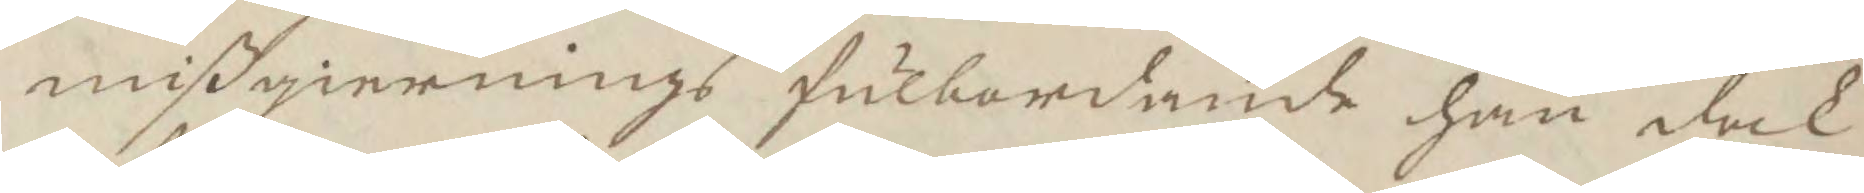mißgiernings fulbordande han dock
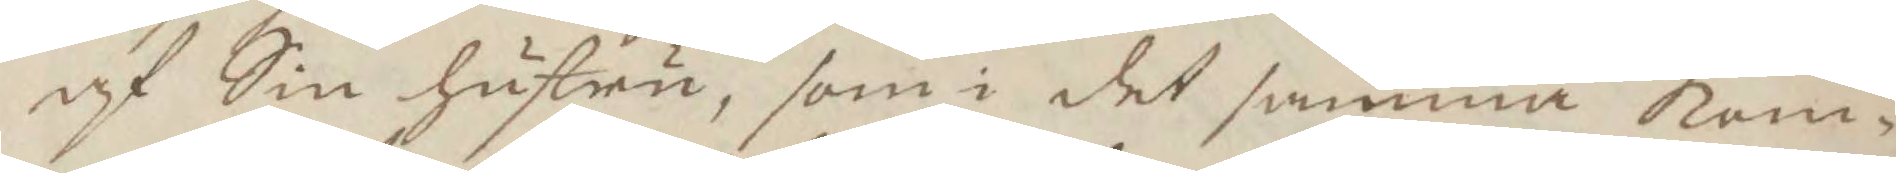af Sin hustru som i det samma kom¬
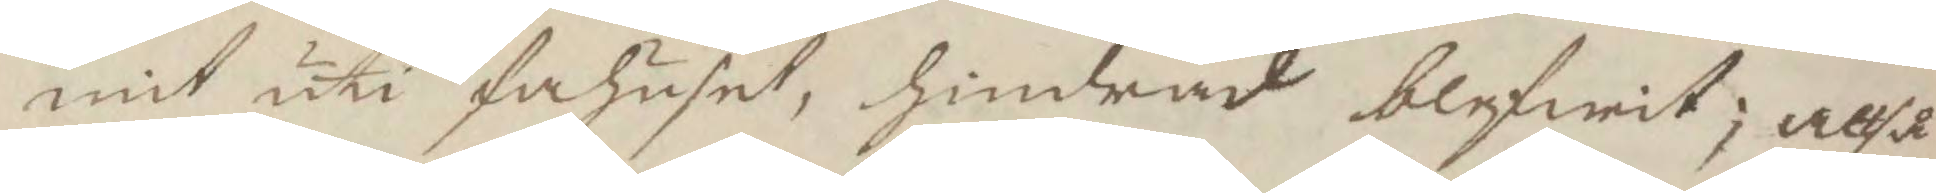mit uti fähuste, hindrad blifwit; altså
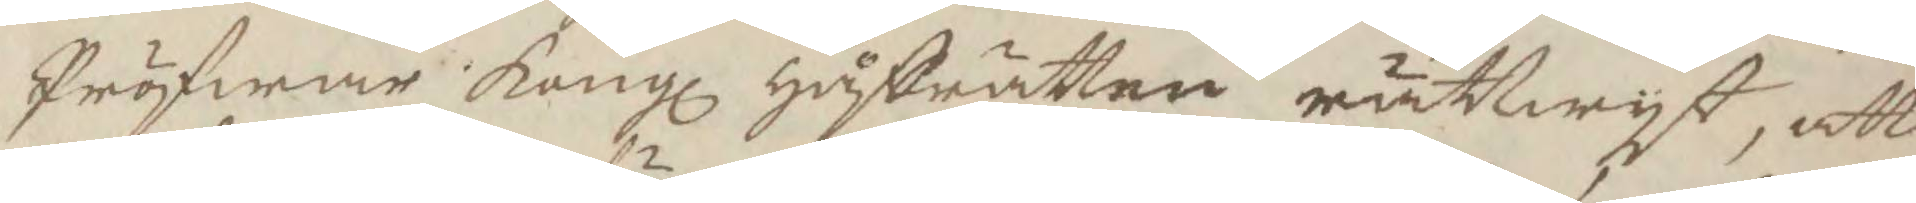Pröfwar Kongl Håfrätten rättwyst, att
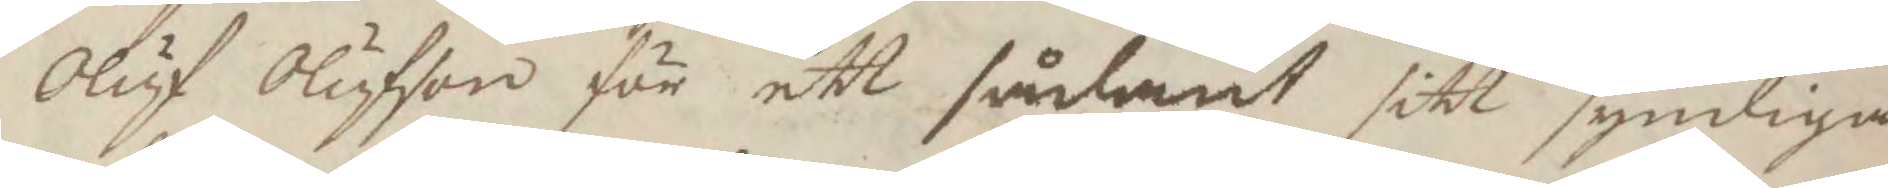Oluf Olufson för ett sådant sitt syndiga
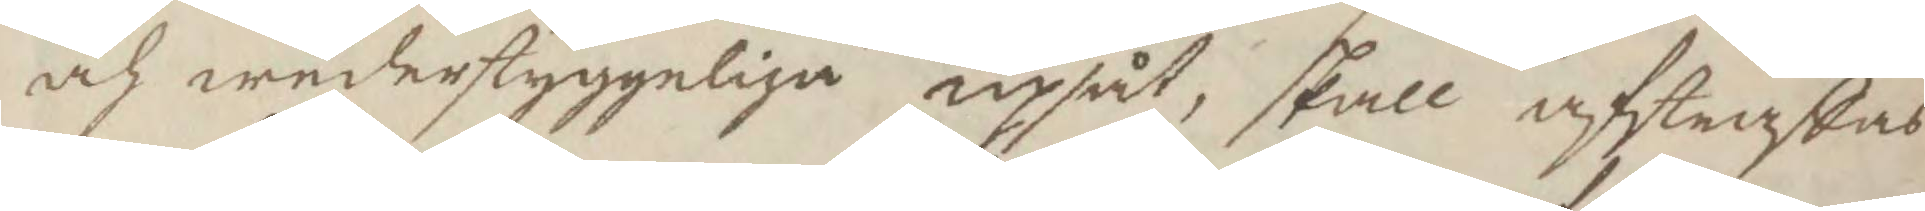och wederstyggeliga upsåt, skall afstraffas
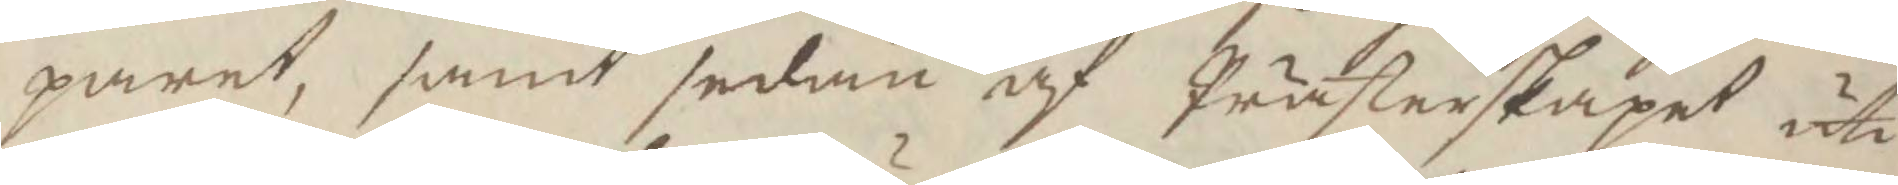paret, samt sedan af Prästerskapet uti
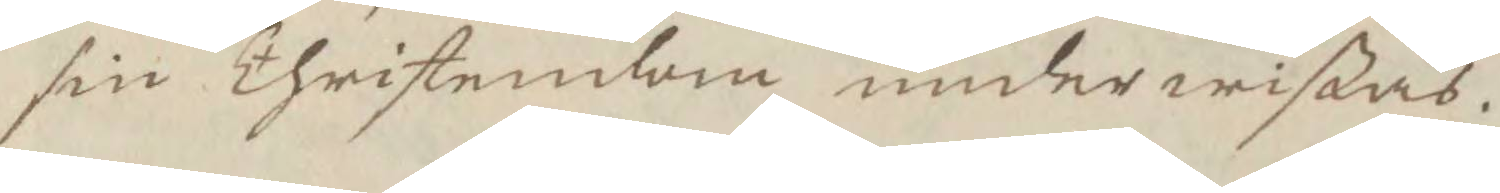sin Christendom underwißas.
